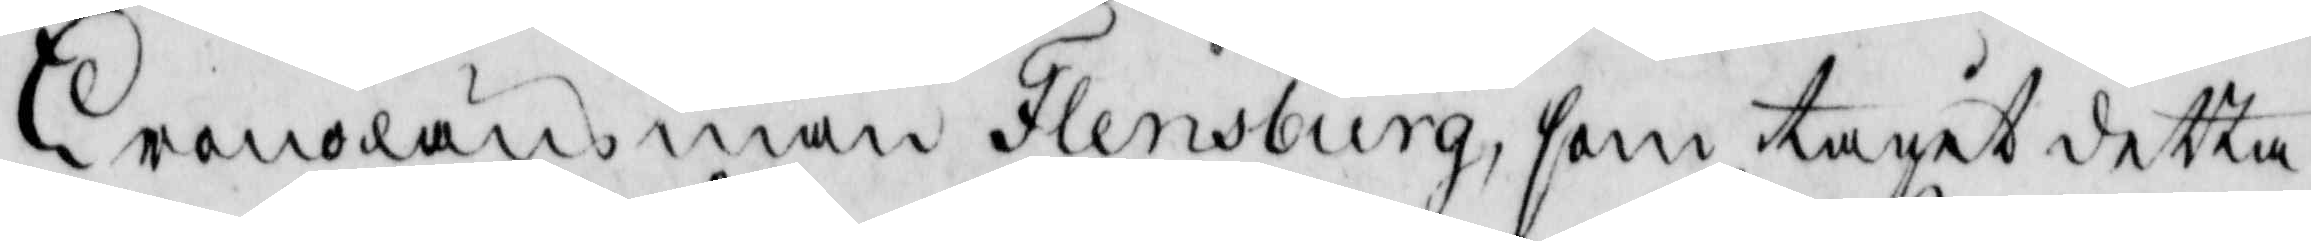CronoLänsman Flensburg, som tagit detta
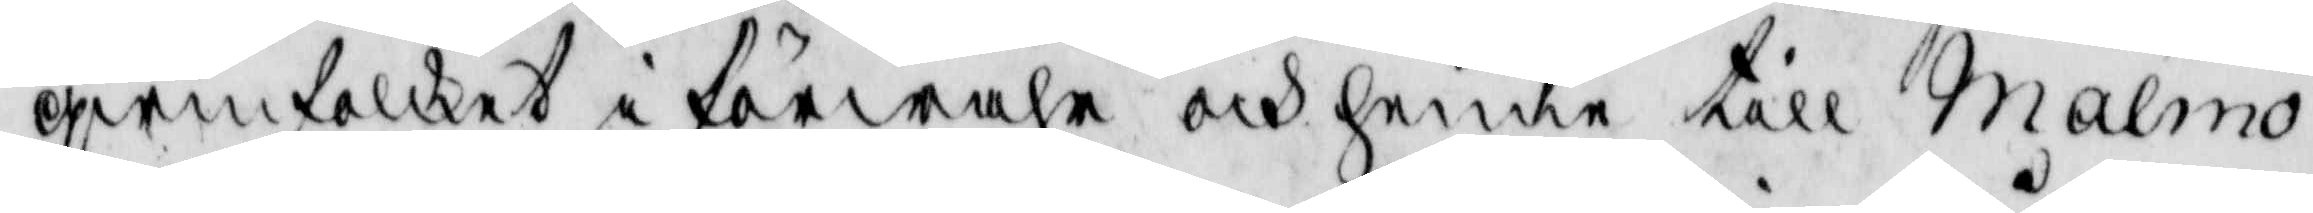qwinfolket i förwahr och henne till Malmö
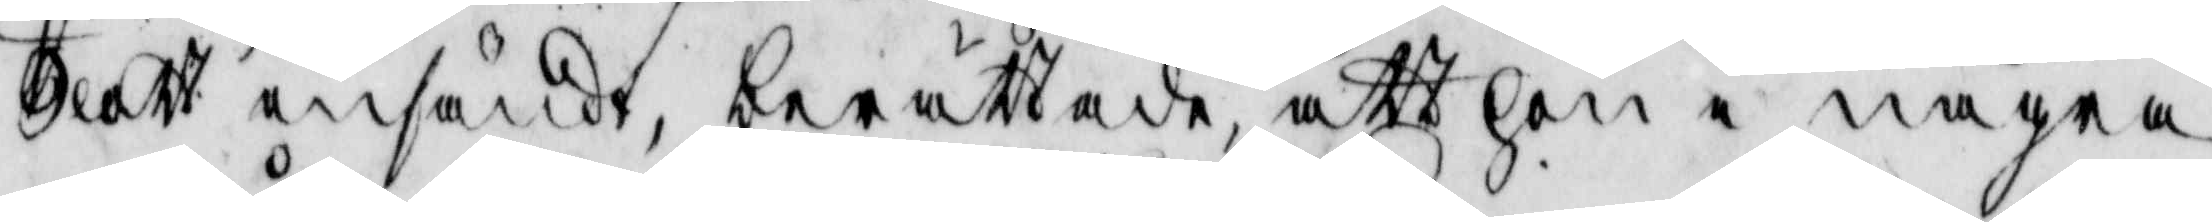Slott insändt, berättade, att hon i några
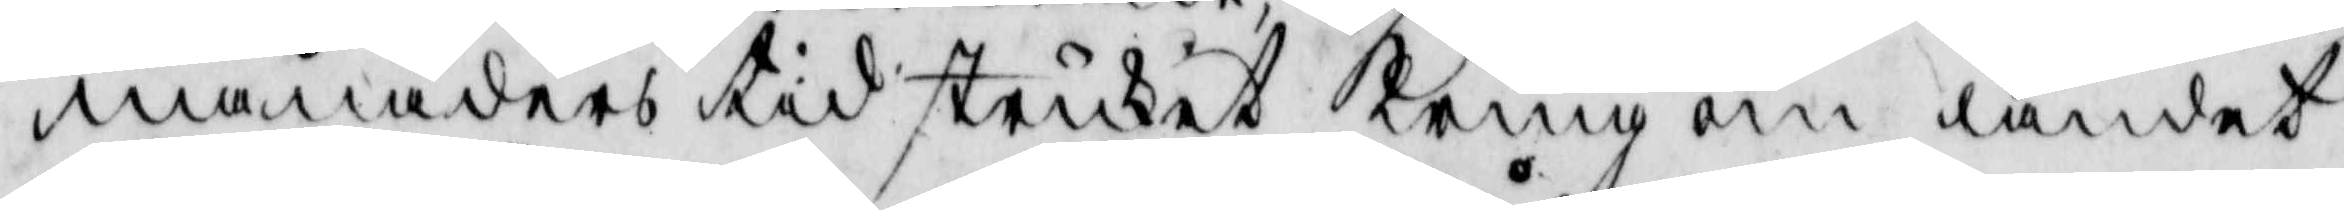månaders tid struket kring om landet
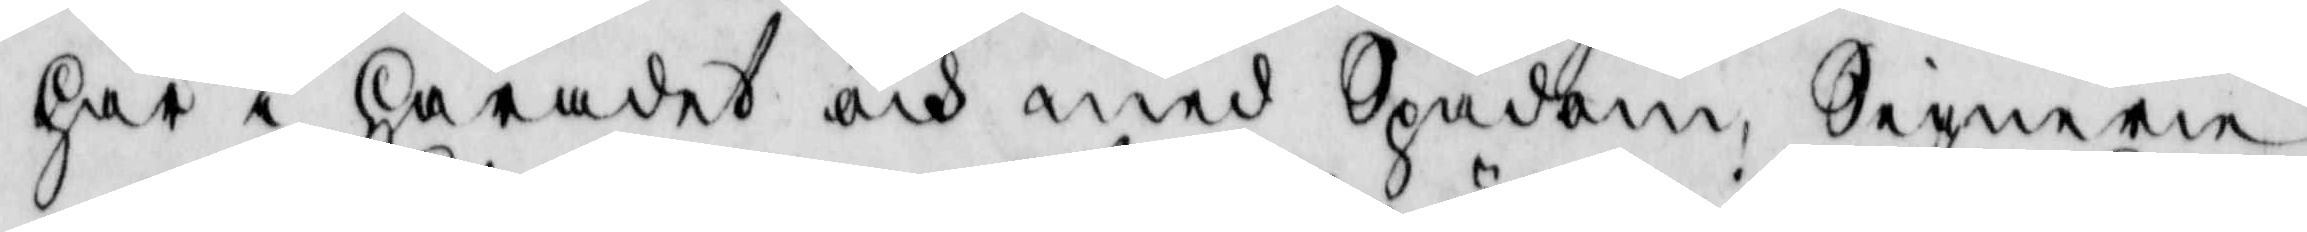här i Häradet och med Spådom, Signerie
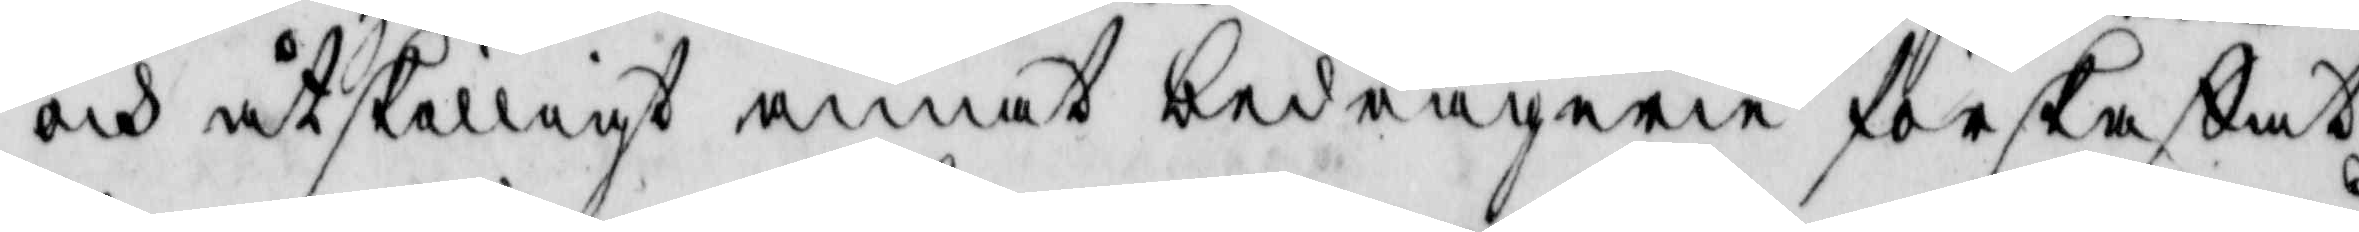och åtskilligt annat bedrägerie förskaffat,
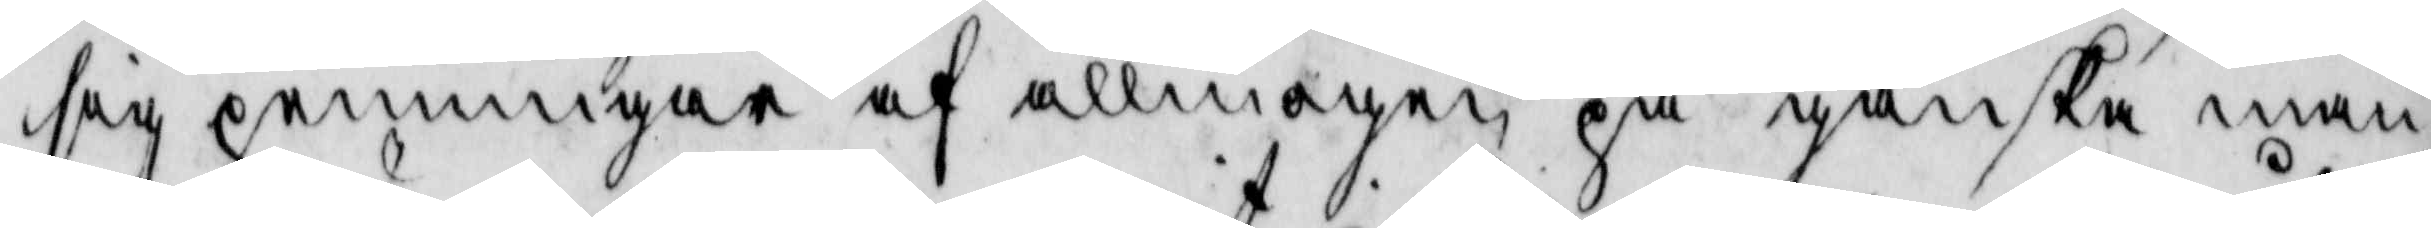sig penningar af allmogen på ganska mån¬
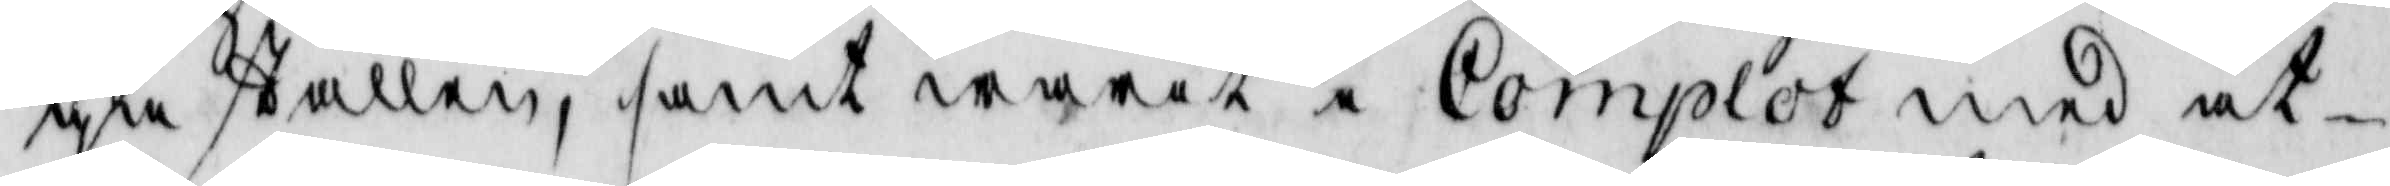ga ställen, samt warit i Complot med åt¬
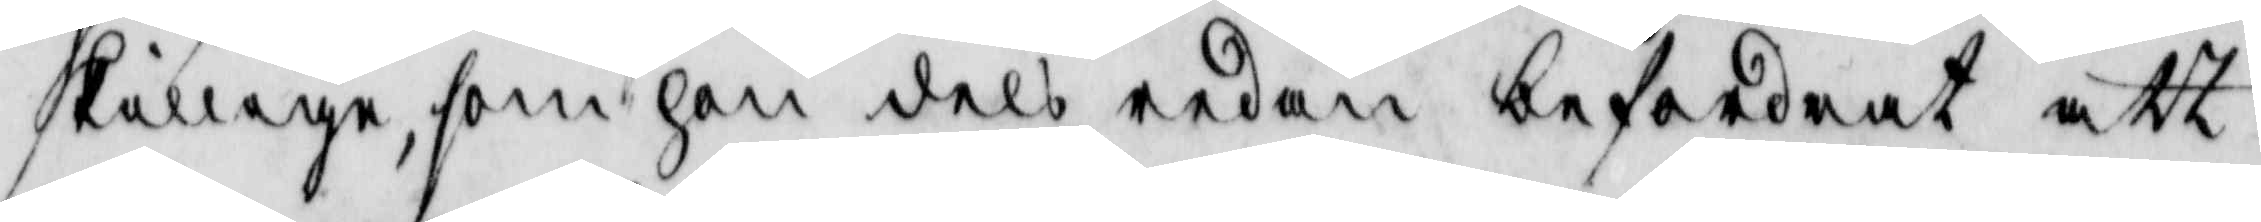skillige, som hon dels redan befordrat att
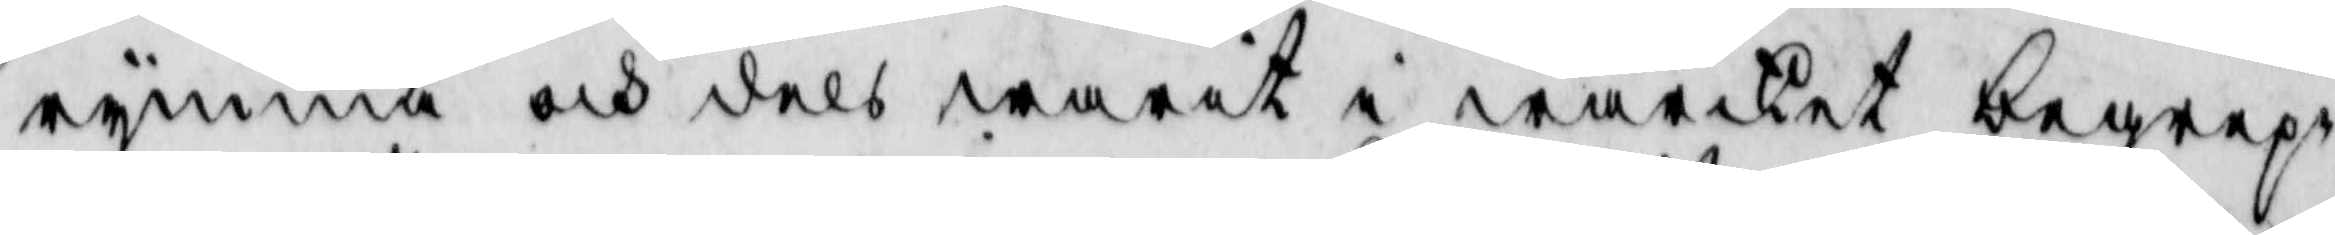rymma och dels warit i wärket begrep¬
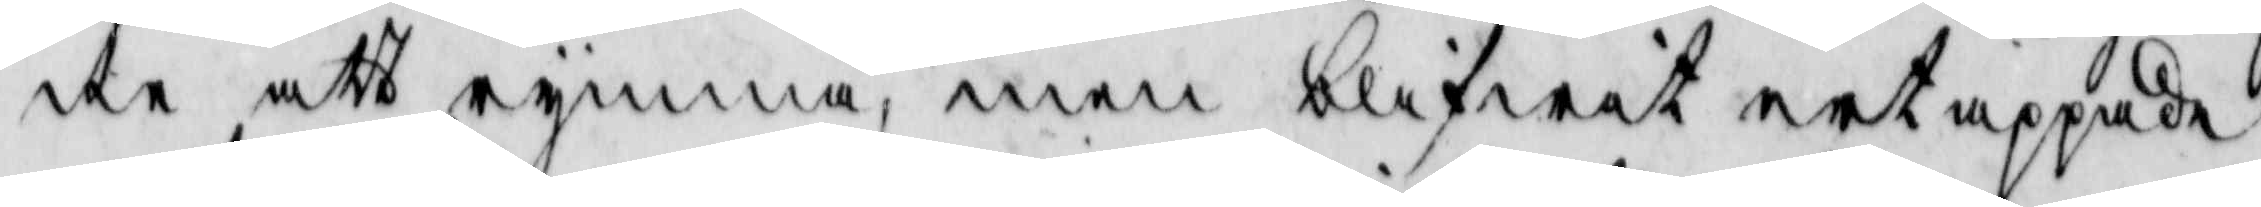ne att rymma, men blifwit ertappade
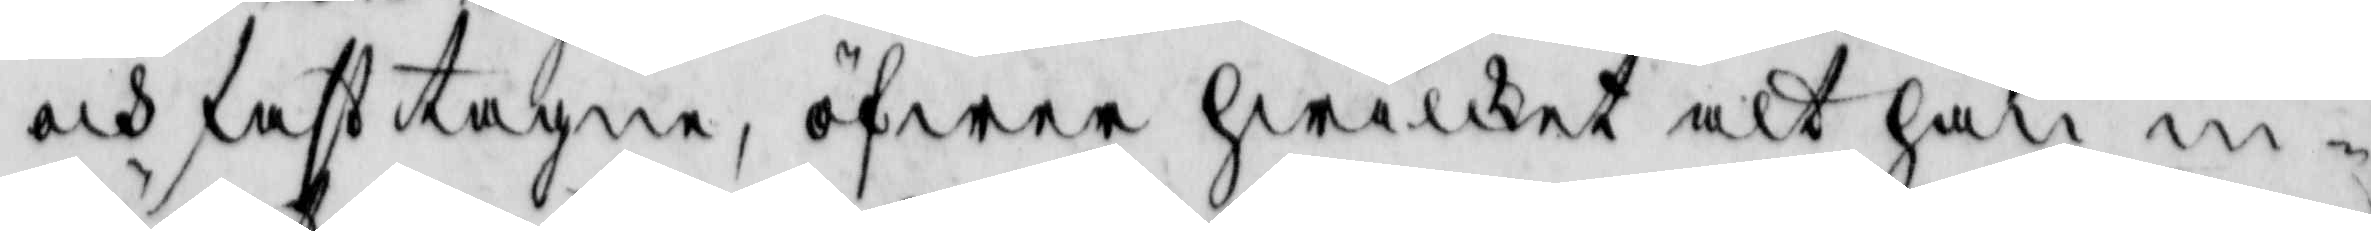och fasttagne, öfwer hwilket alt hon in¬
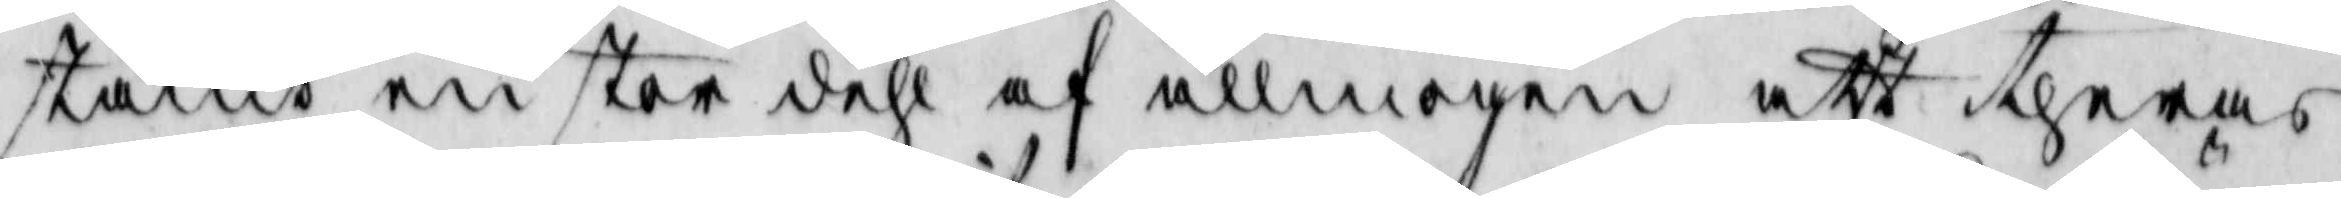stämt en stor dehl af allmogen att theras
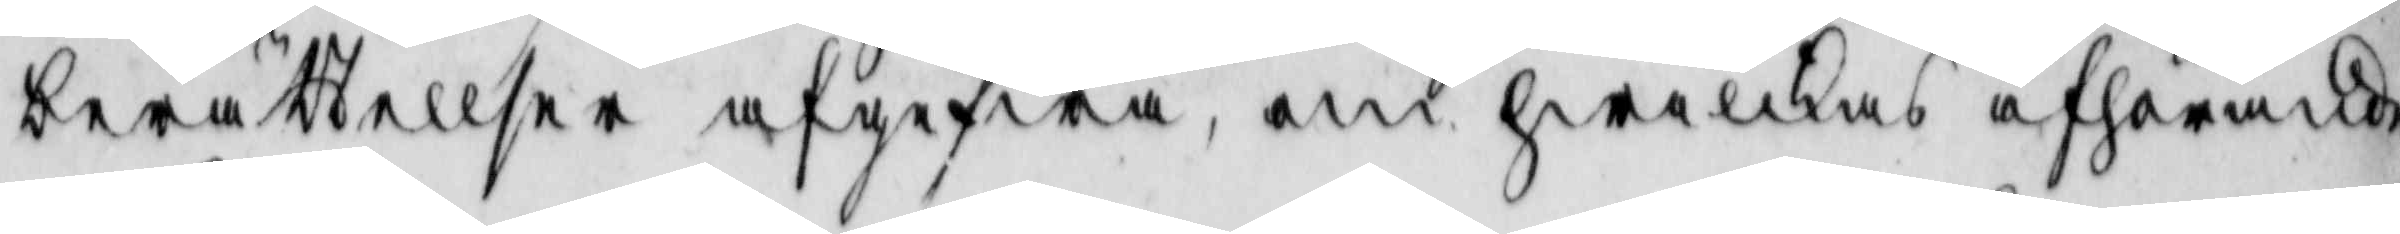berättellser afgifwa, om hwilkas afhörande
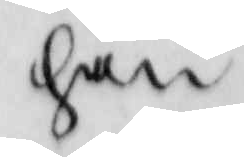han
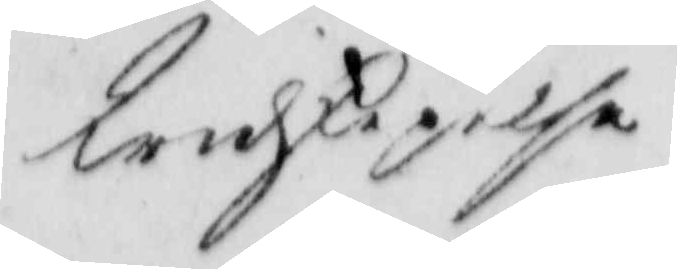widskepelse
